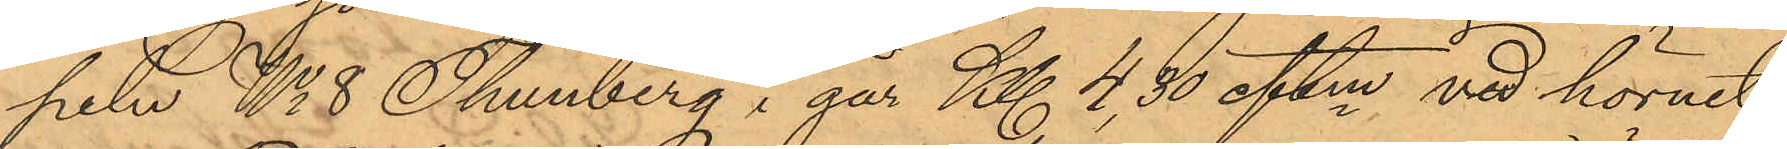peln No 8 Thunberg i går Kl. 4,30 eftm vid hörnet
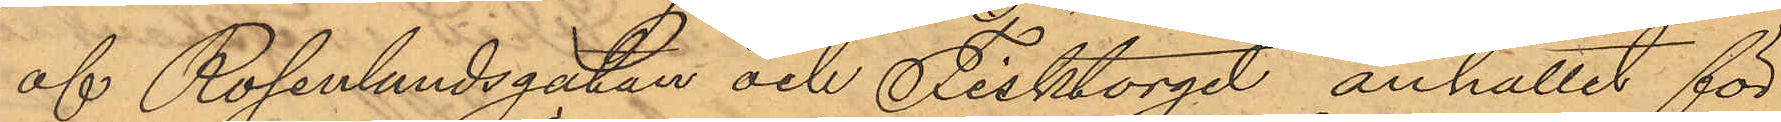af Rosenlundsgatan och Fisktorget anhållit för
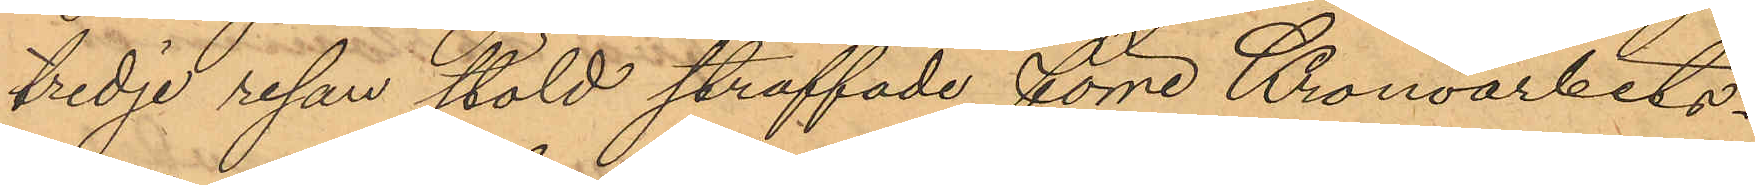tredje resan stöld straffade förre Kronoarbets¬
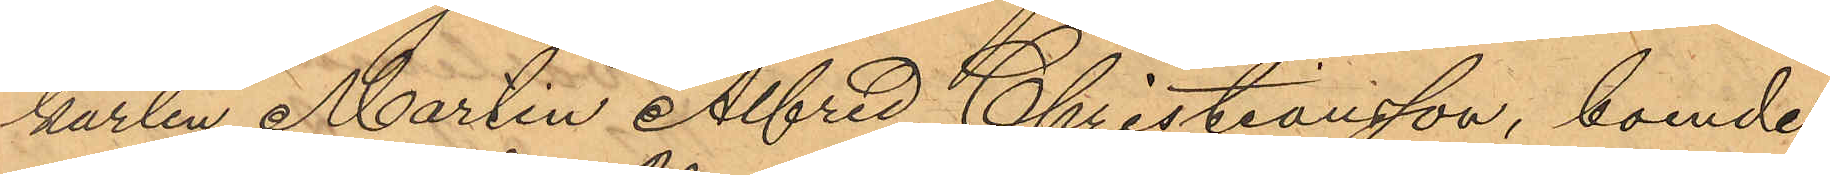karlen Martin Alfred Christiansson, boende
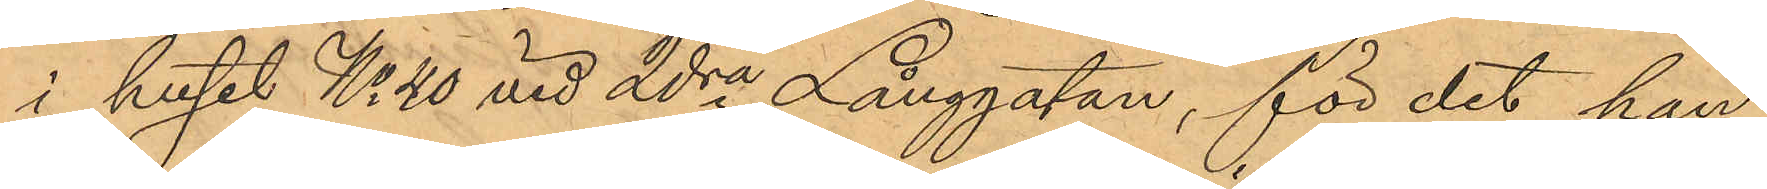i huset No 40 vid 2dra Långgatan, för det han
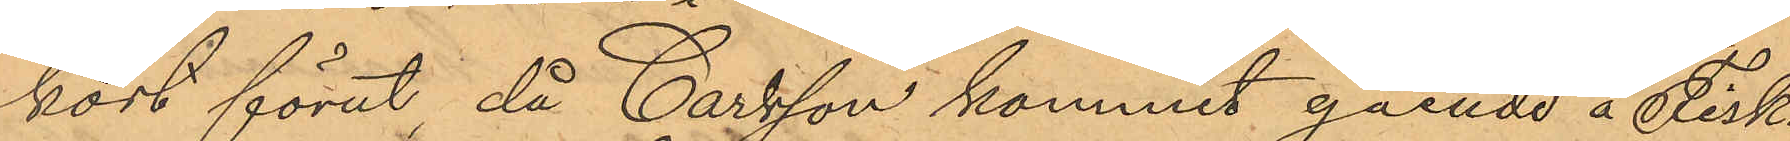kort förut, då Carlsson kommit gående å Fisk¬
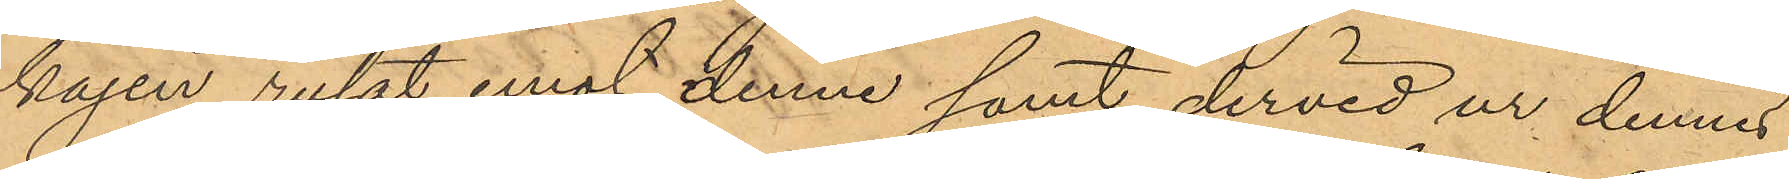kajen rusat emot denne samt dervid ur dennes
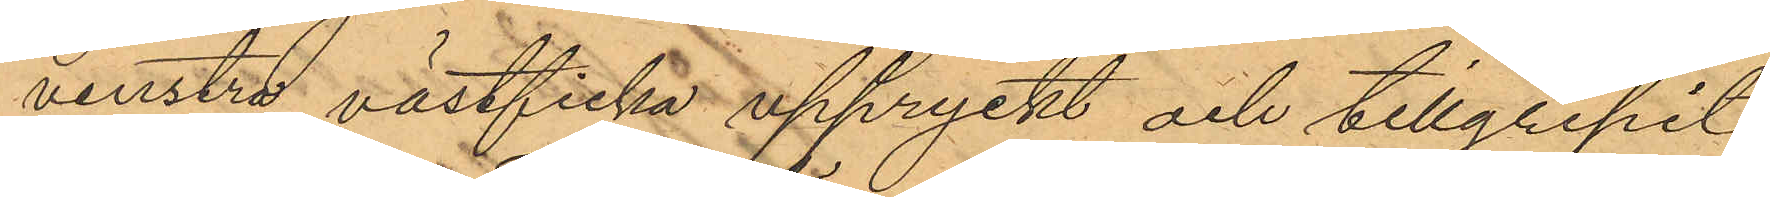venstra västficka uppryckt och tillgripit
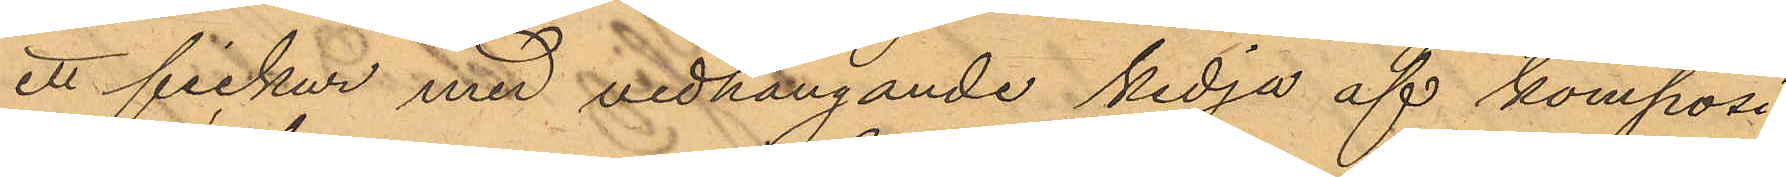ett fickur med vidhängande kedja af komposi¬
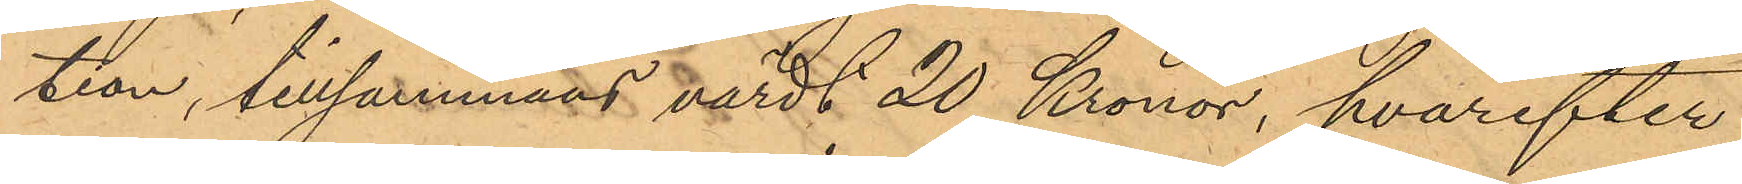tion, tillsammans värdt 20 Kronor, hvarefter
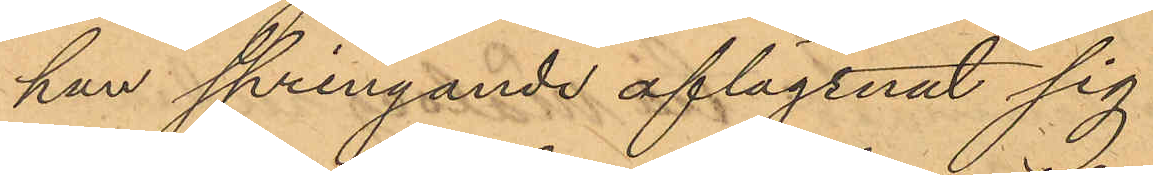han springande aflägsnat sig.
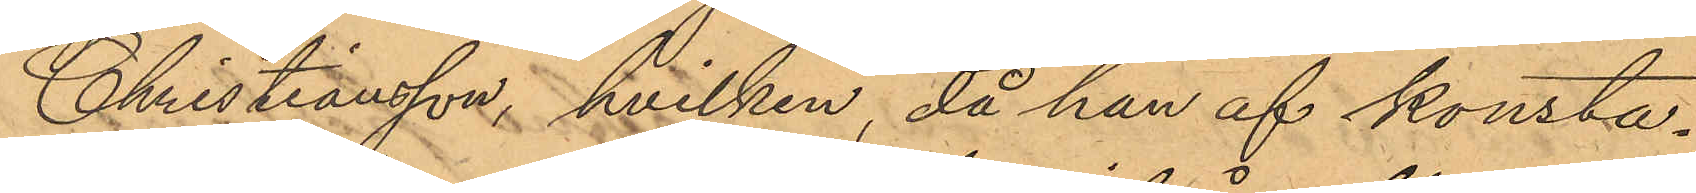Christiansson, hvilken, då han af konsta¬
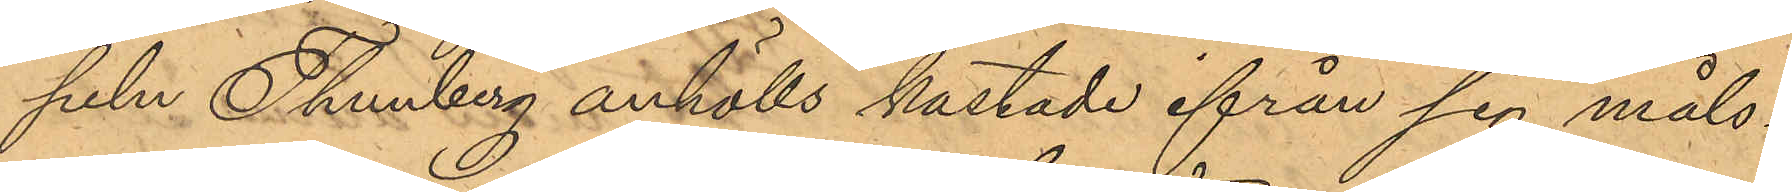peln Thunberg anhölls kastade ifrån sig måls¬
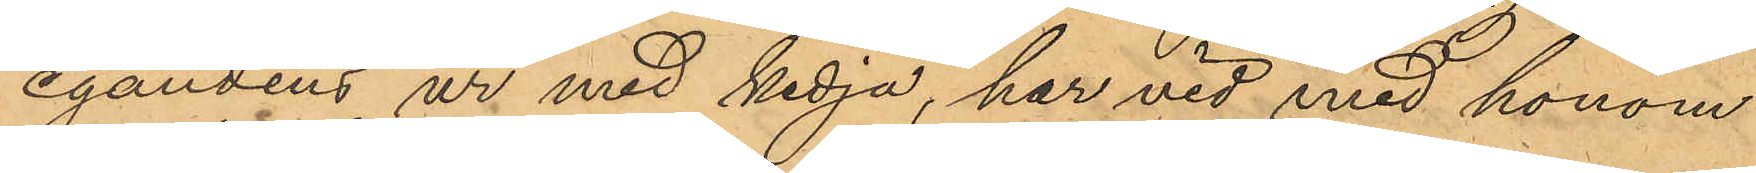egandens ur med kedja, har vid med honom
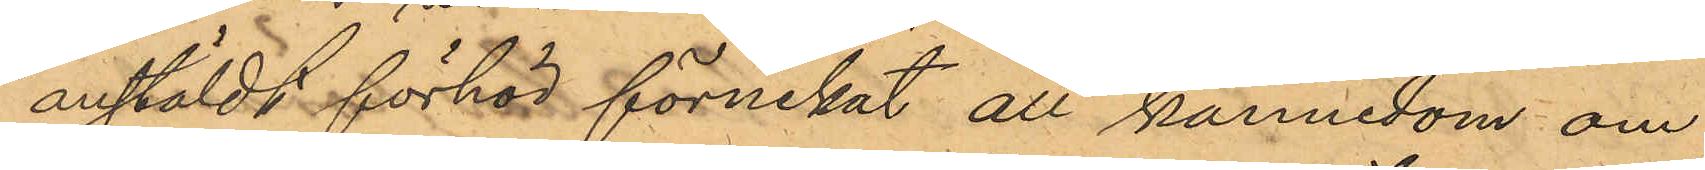anstäldt förhör förnekat all kännedom om
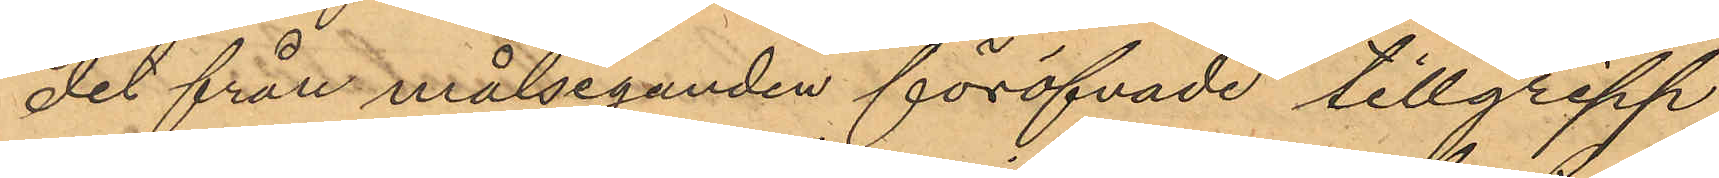det från målseganden föröfvade tillgrepp
